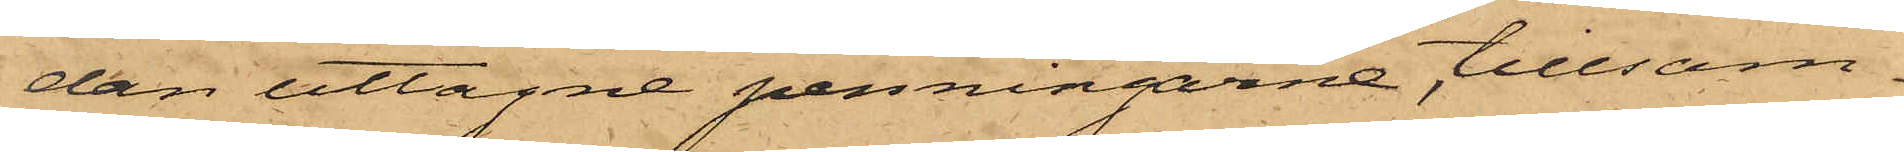dan uttagne penningarne, tillsam¬
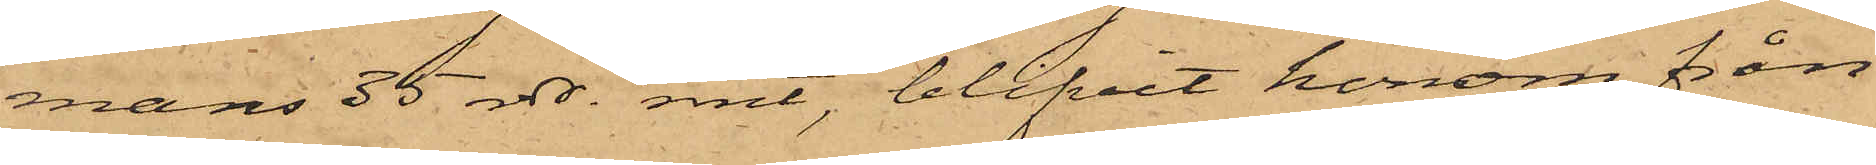mans 35 rdr rmt, blifvit honom från¬
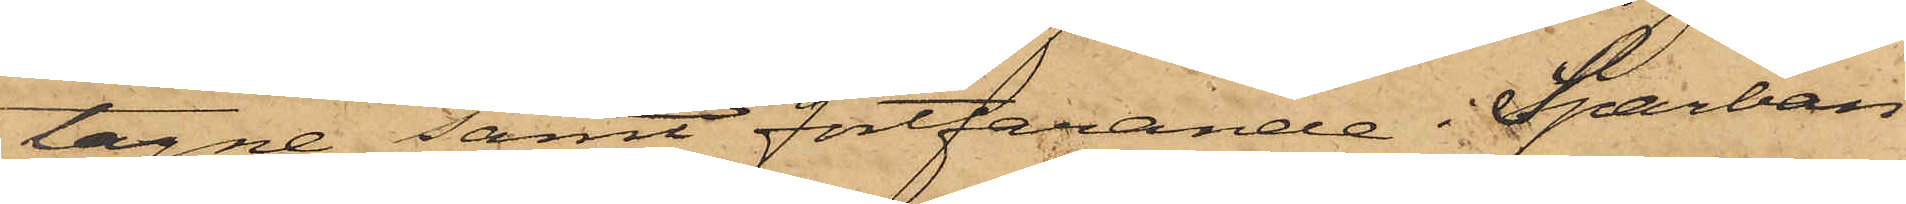tagne samt fortfarande i Sparban¬
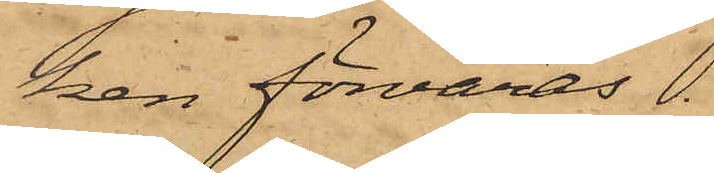ken förvaras.
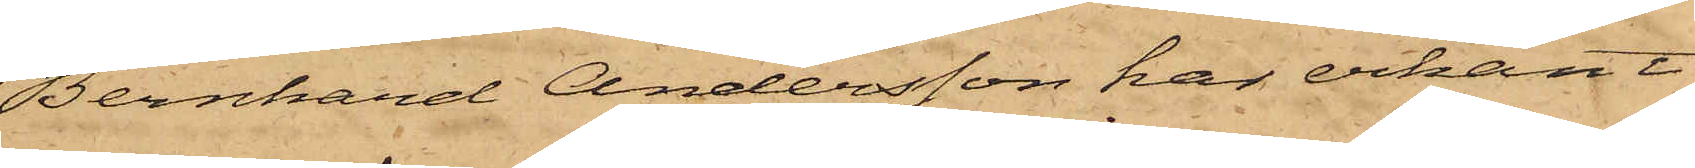Bernhard Andersson har erkänt
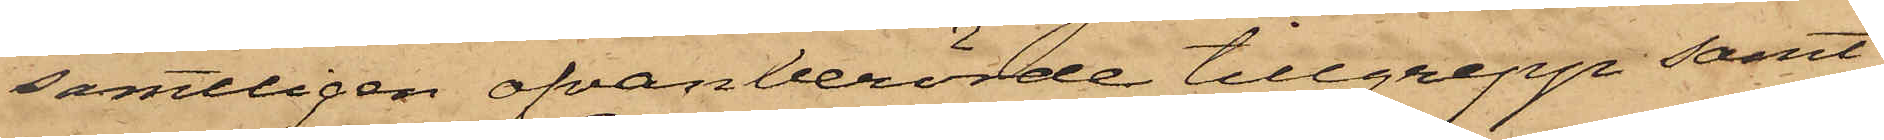samtliga ofvanberörde tillgrepp samt
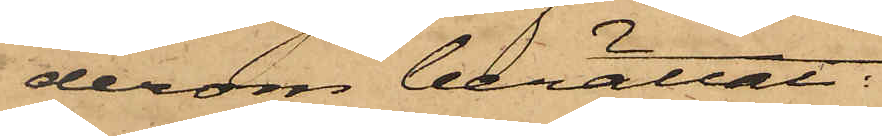derom berättat:
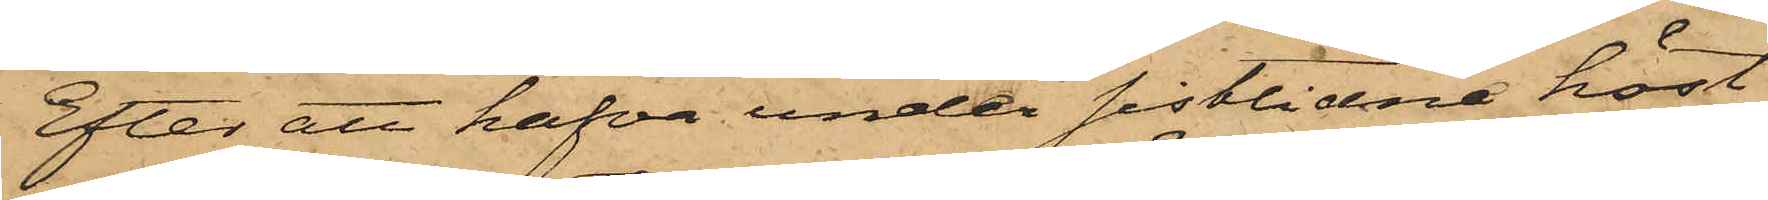Efter att hafva under sistlidne höst
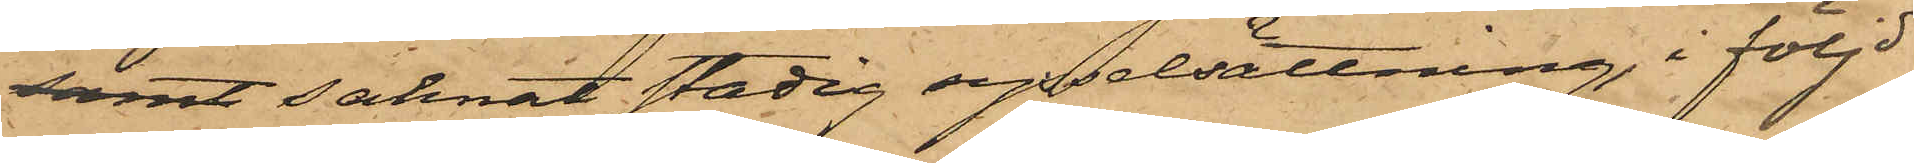samt saknat stadig sysselsättning, i följd
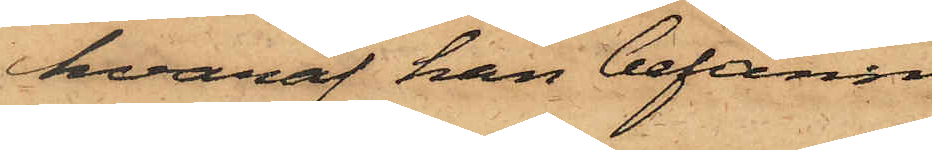hvaraf han befann
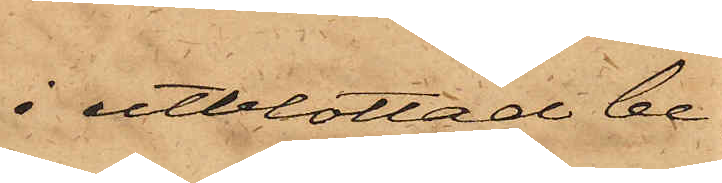i utblottad be¬
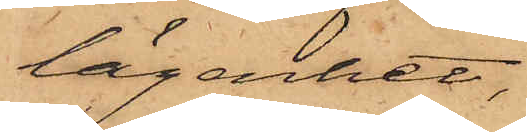lägenhet,
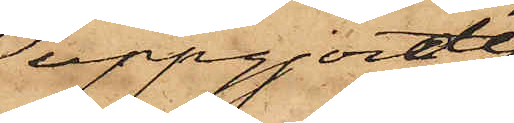uppgjorde
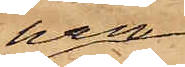han
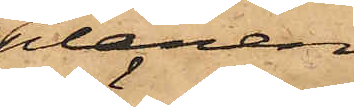planen
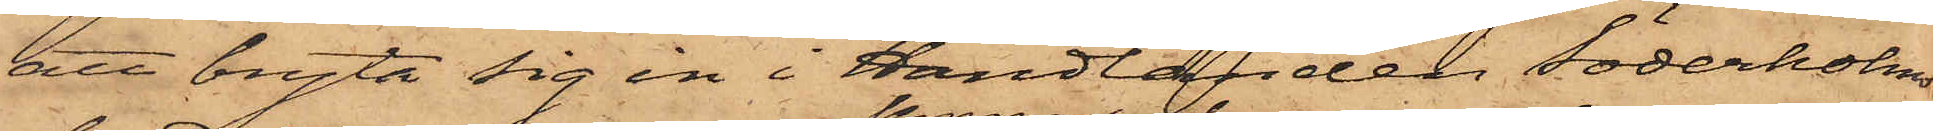att bryta sig in i Handlanden Söderholms
